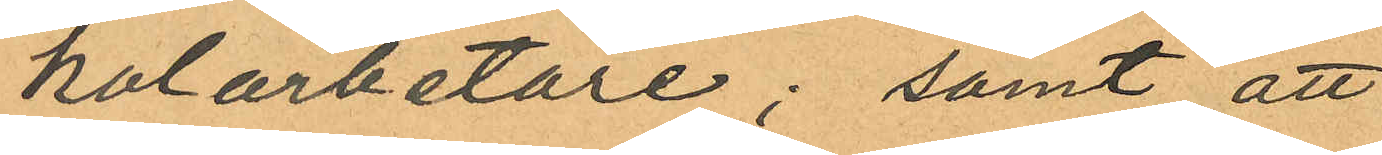kolarbetare; samt att
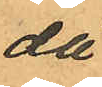då
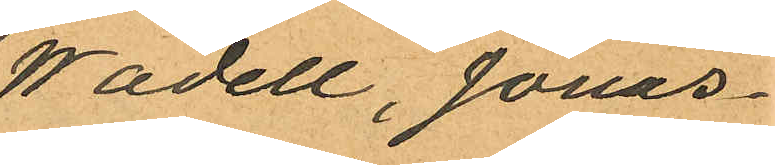Wadell, Jonas¬
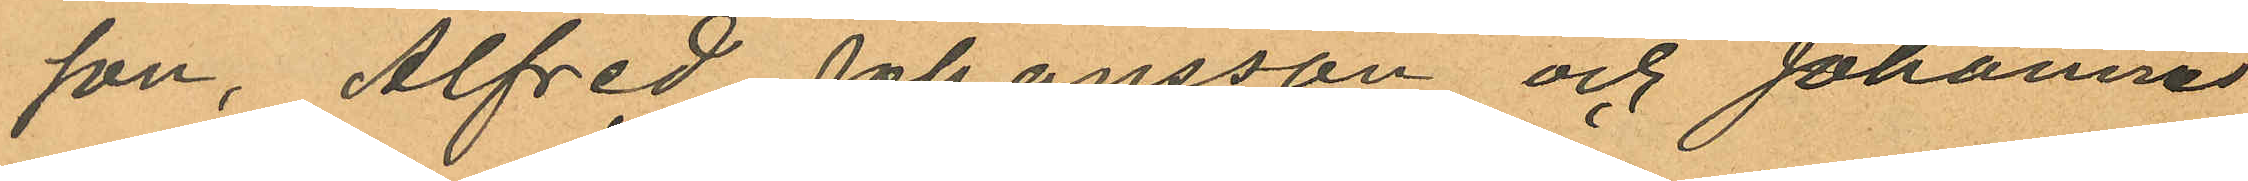son, Alfred Johansson och Johannes
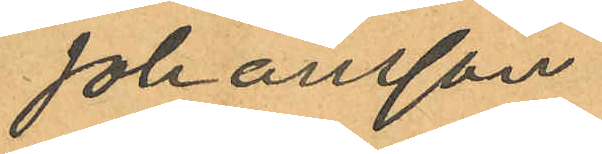Johansson
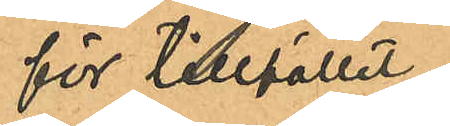för tilllfället
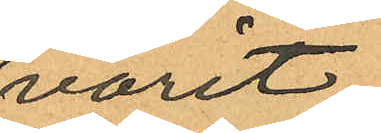varit
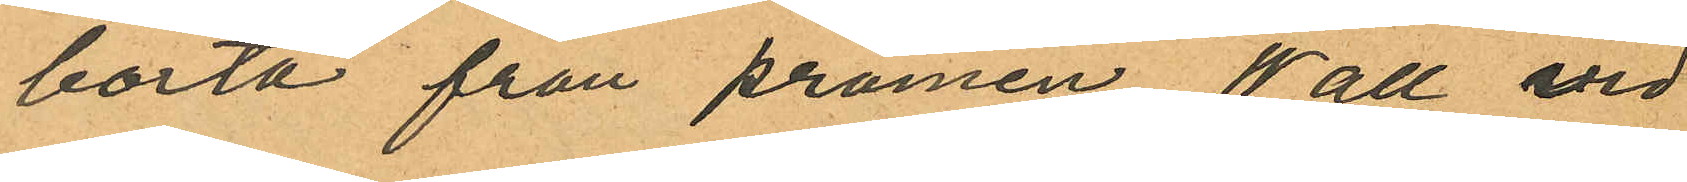borta från pråmen Wall vid
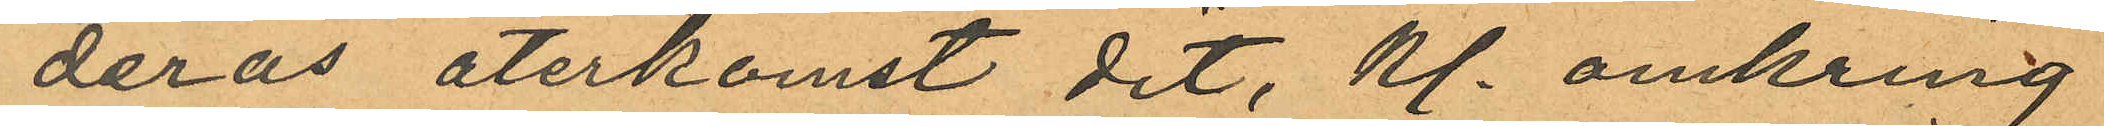deras återkomst dit, kl. omkring
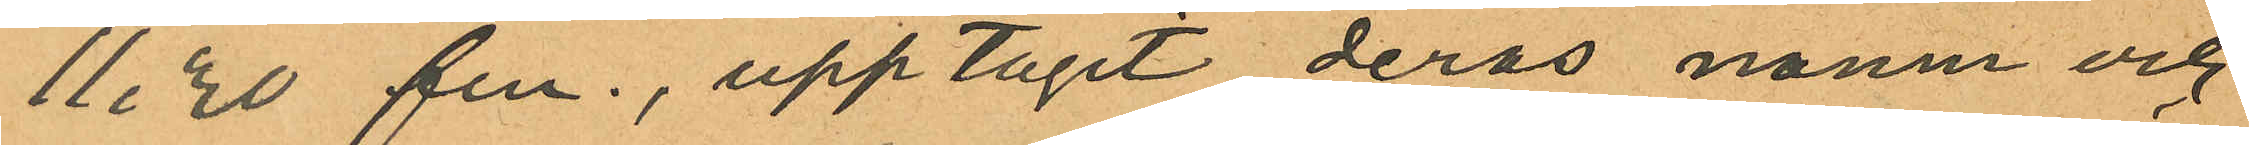11,30 fm., upptagit deras namn och
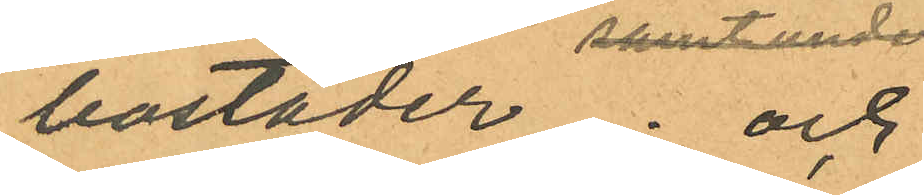bostäder; och
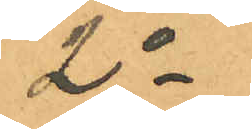2o
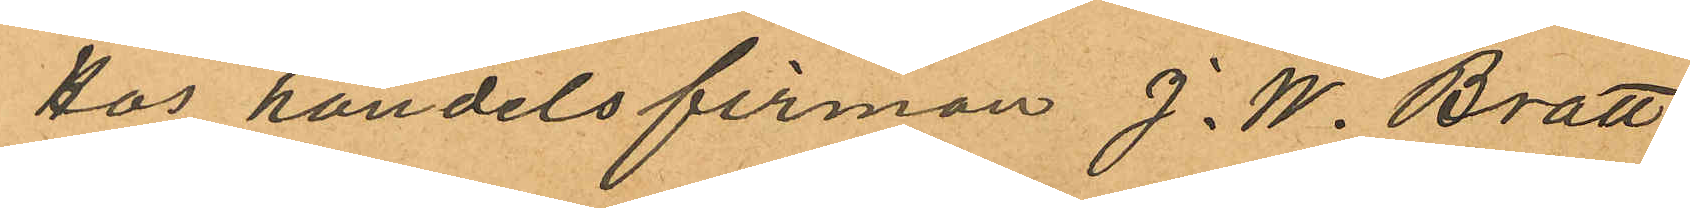Hos handelsfirman J. W. Bratt
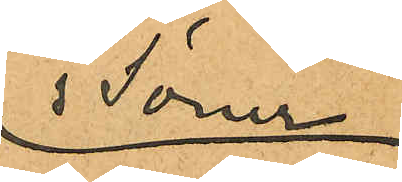& söner
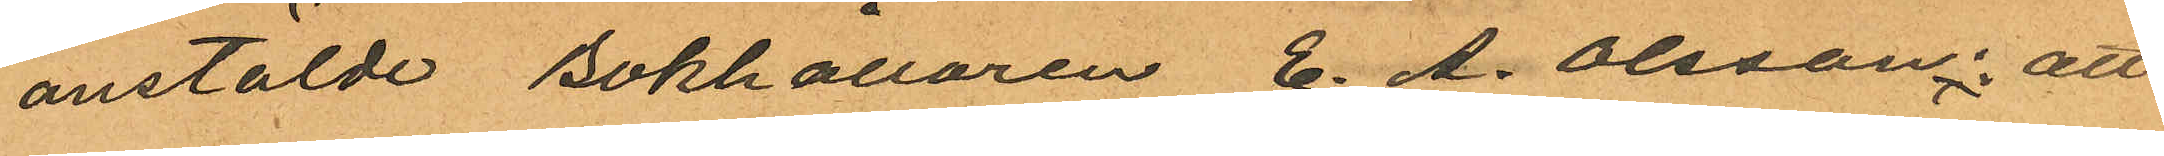anstälde Bokhållaren E. A. Olsson: att
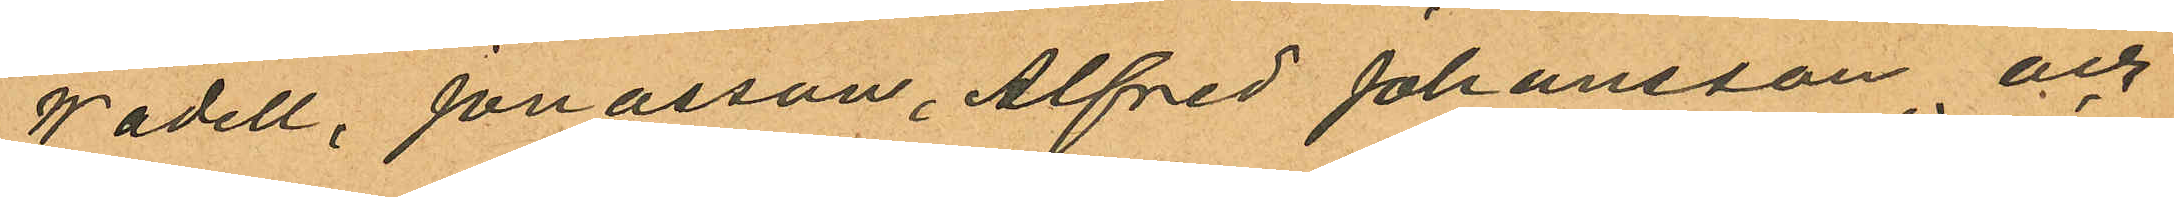Wadell, Jonasson, Alfred Johansson och
